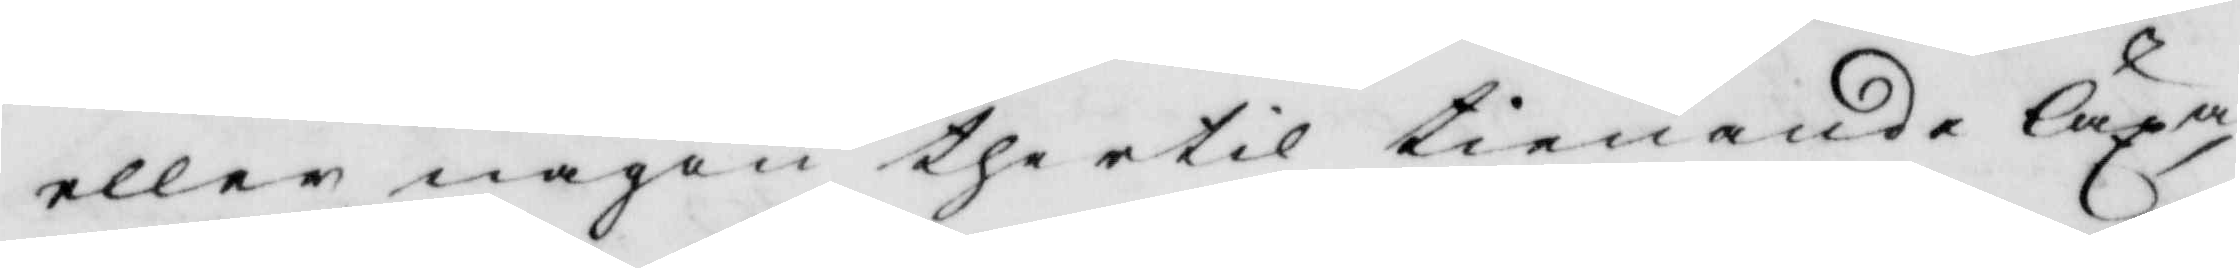eller någon thertil tienande läxa
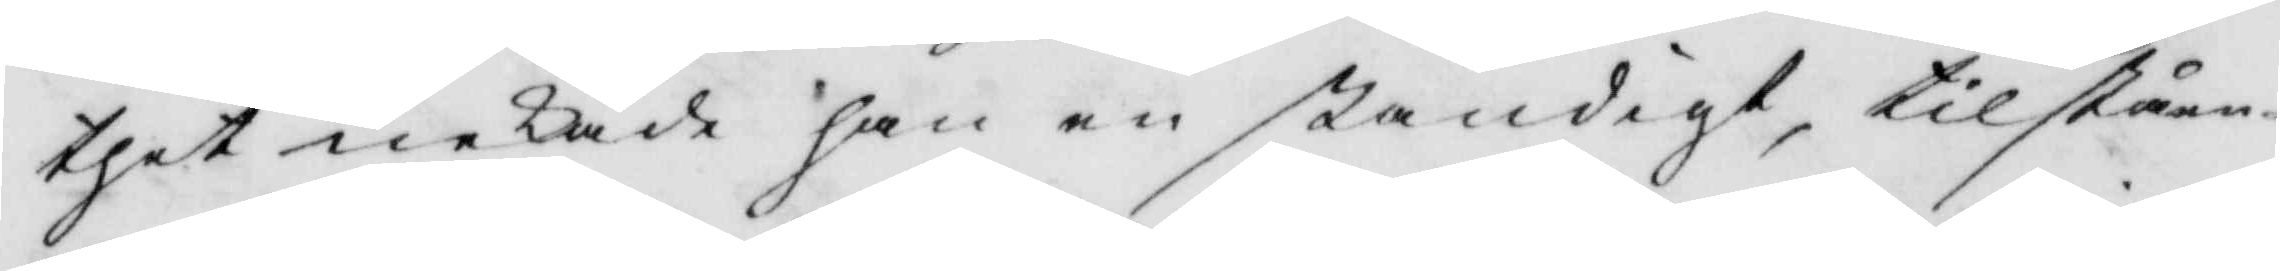thet nekade han enständigt, tillståen¬
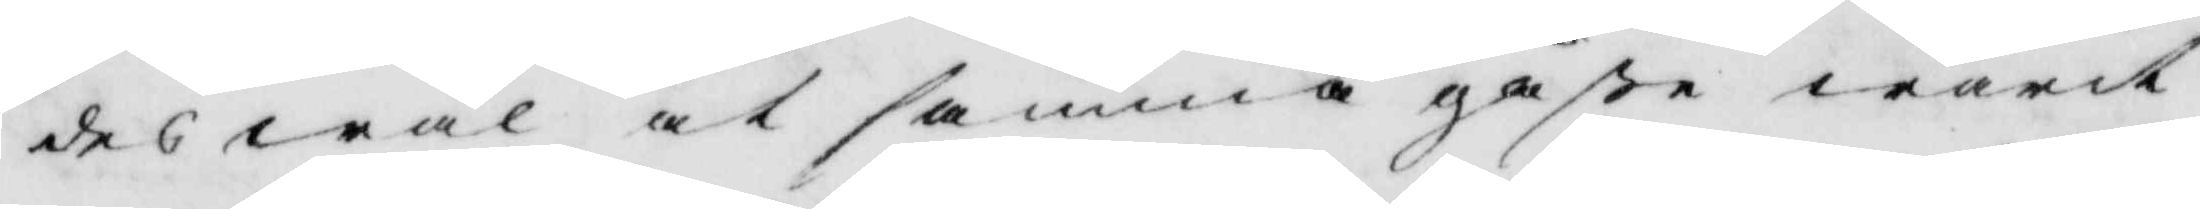des wäl at samma gåße warit
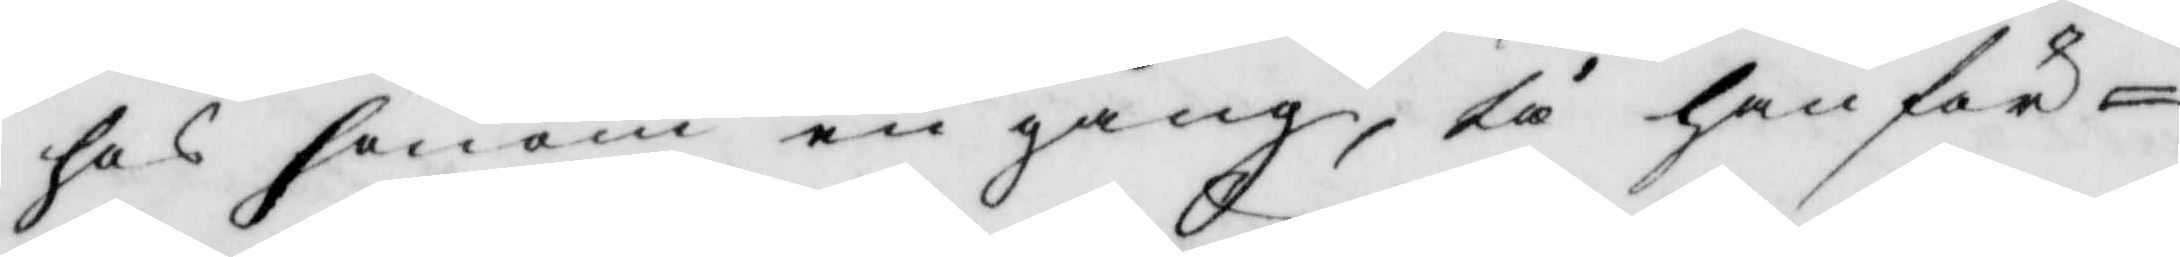hos honom en gång, tå han för
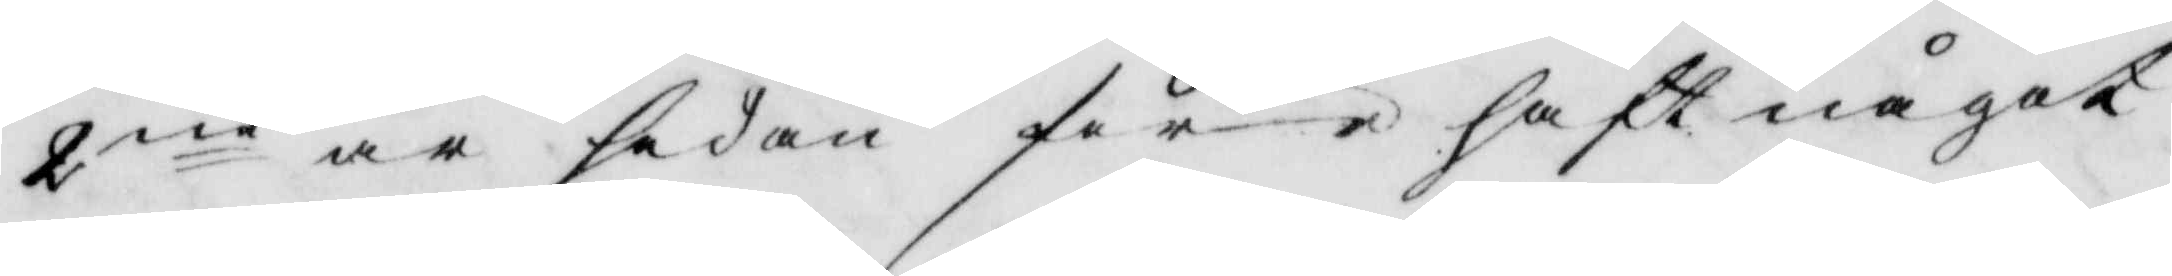2ne år sedan förehaft något
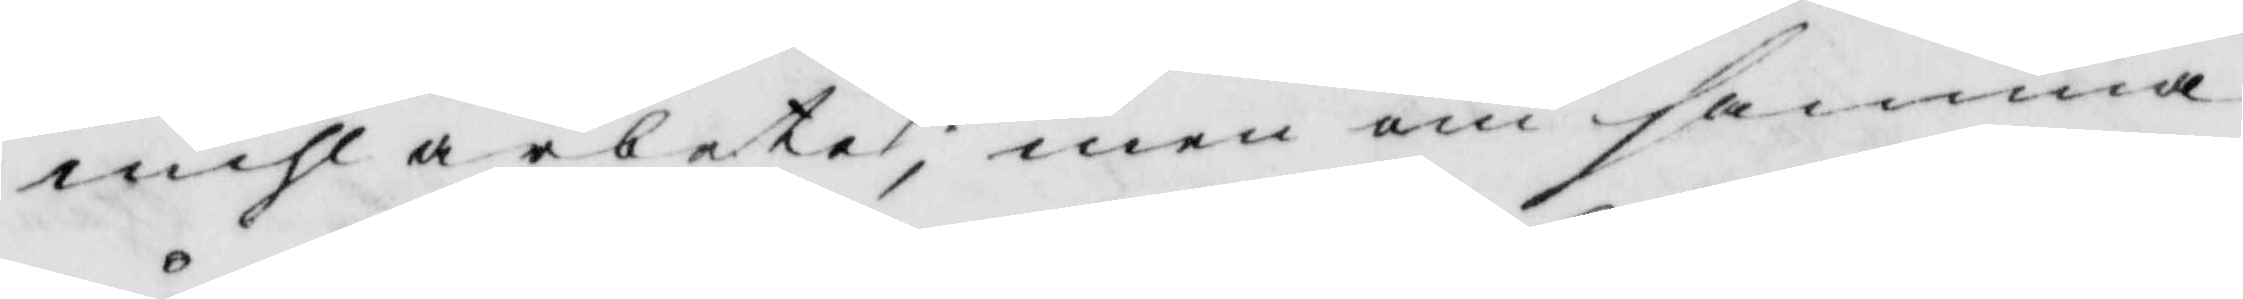mihlarbete, men om samma
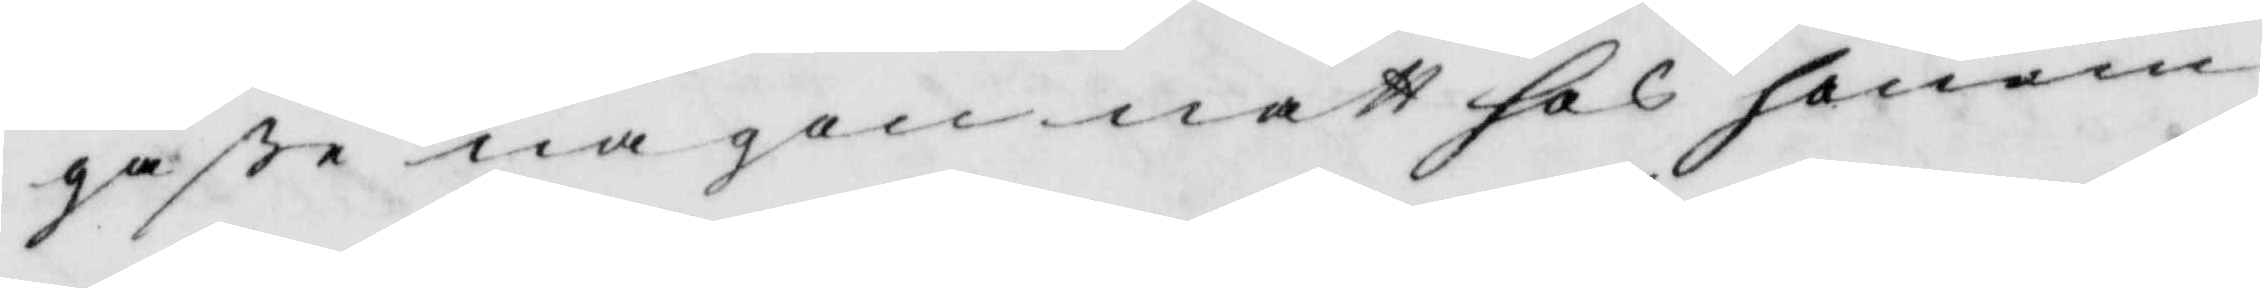gåße någon natt hos honom
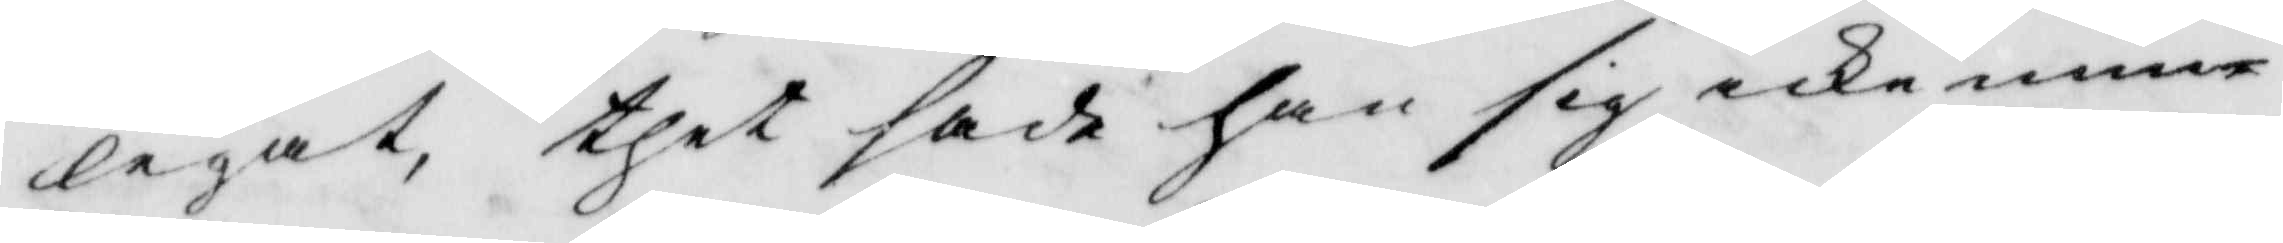legat, thet sade han sig icke min¬
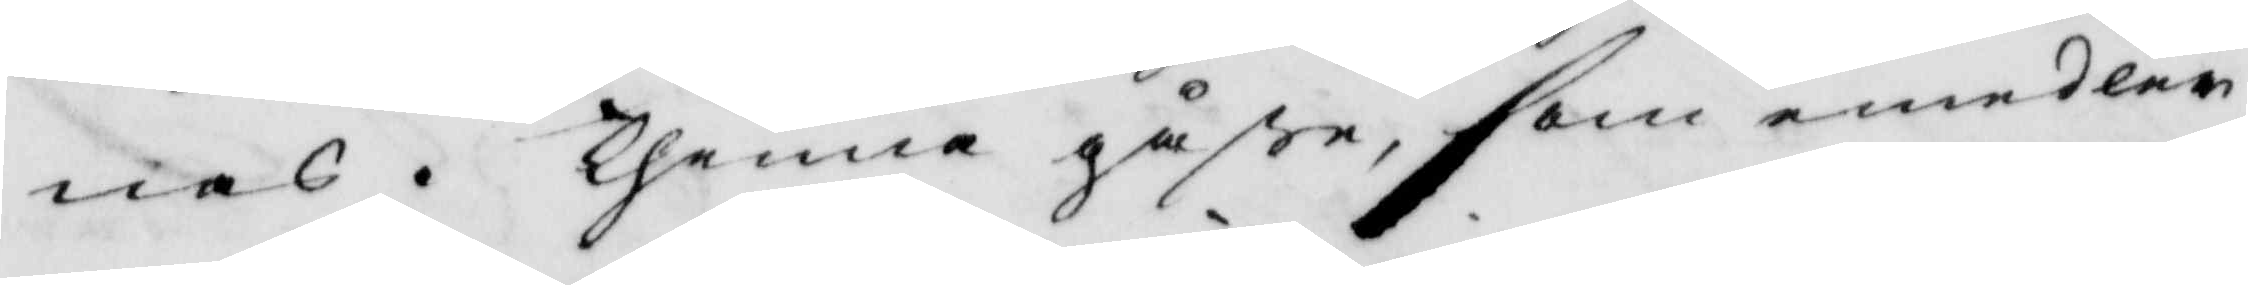nas. Thenne gåße, som emedler¬
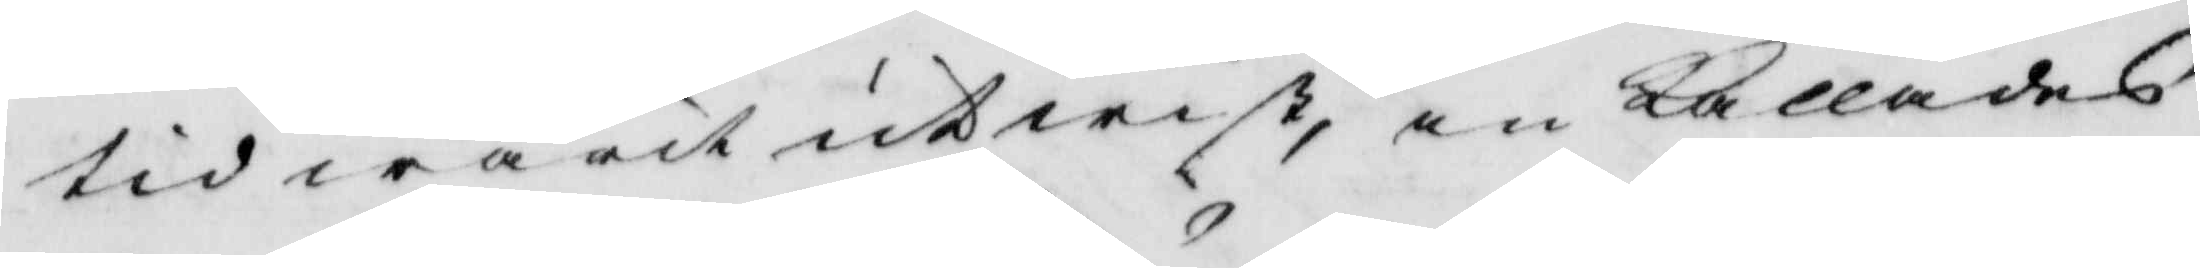tid warit utwist, inkallades
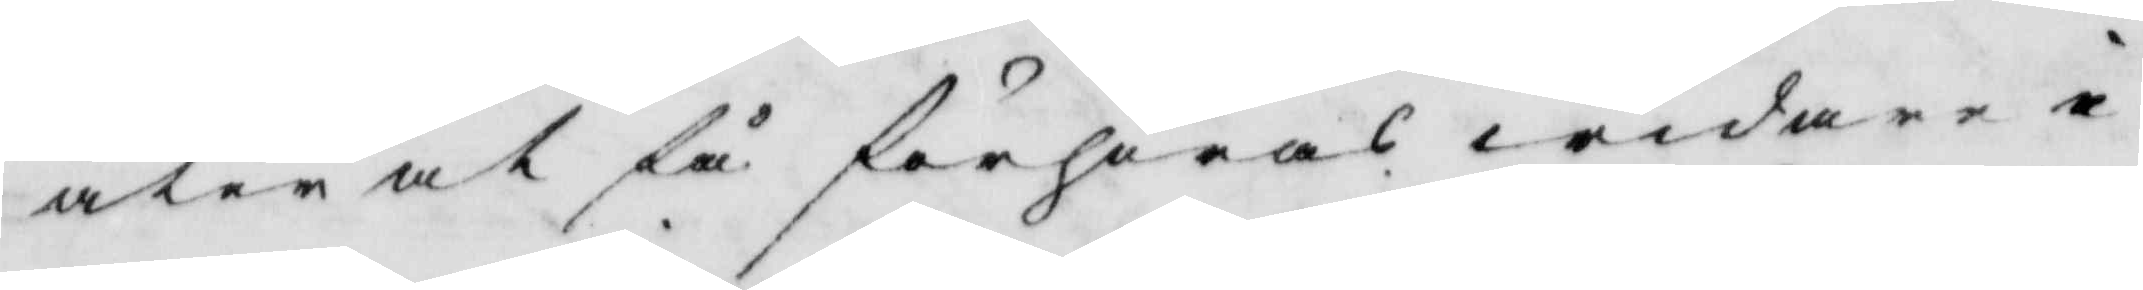åter at så förhöras widare i
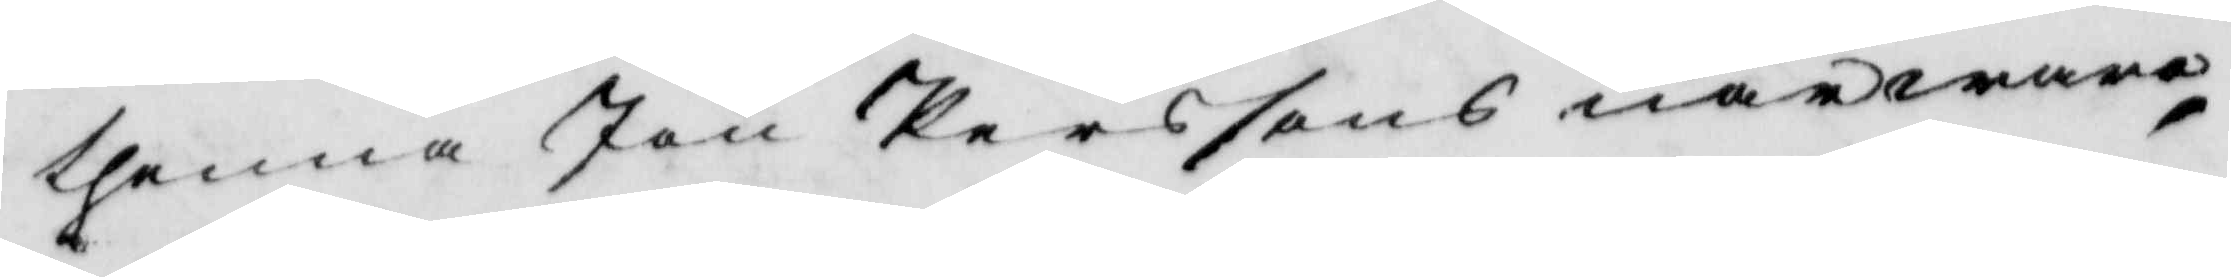thenna Jon Perssons närwaro
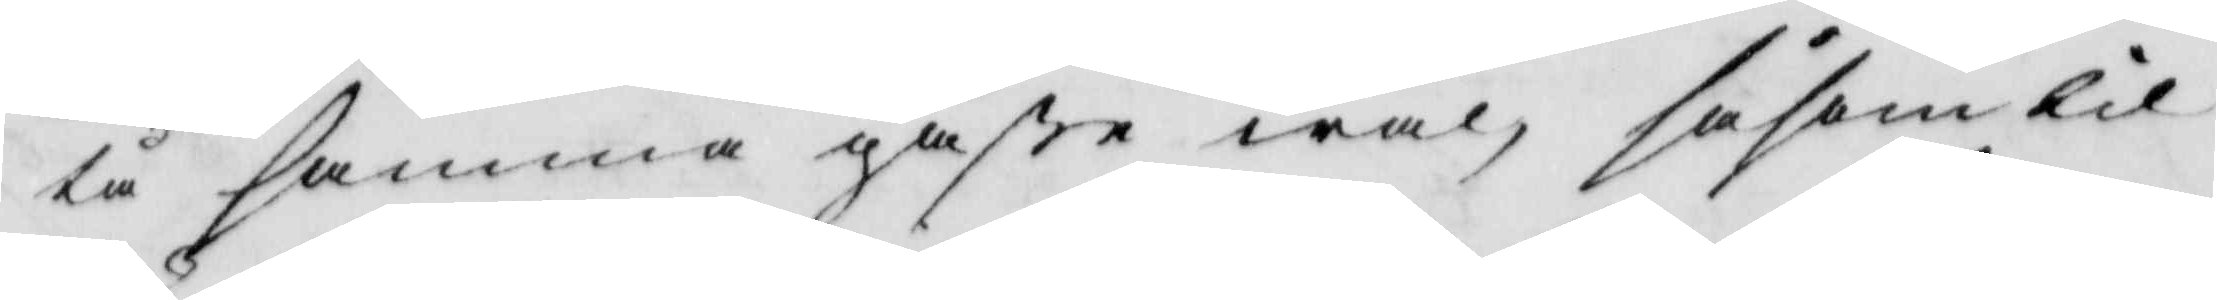tå samma gåße wäl såsom til¬
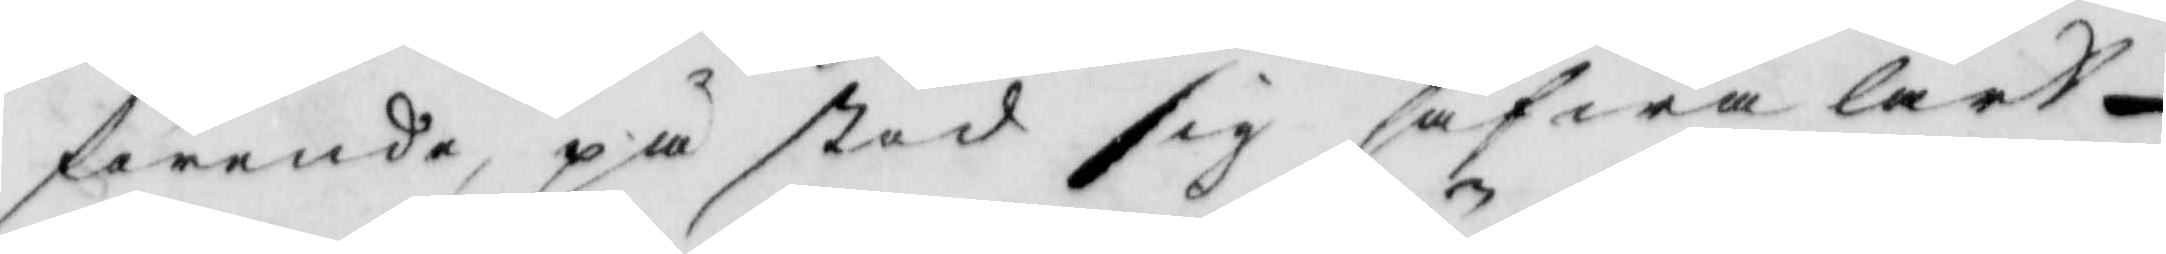förende påstod sig hafwa lärdt
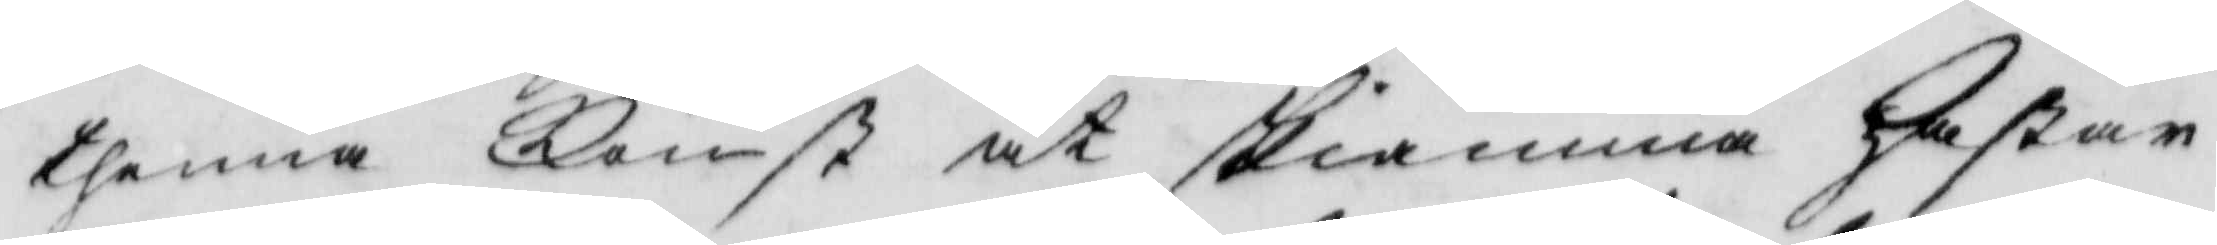thenna Konst at skiämma hästar
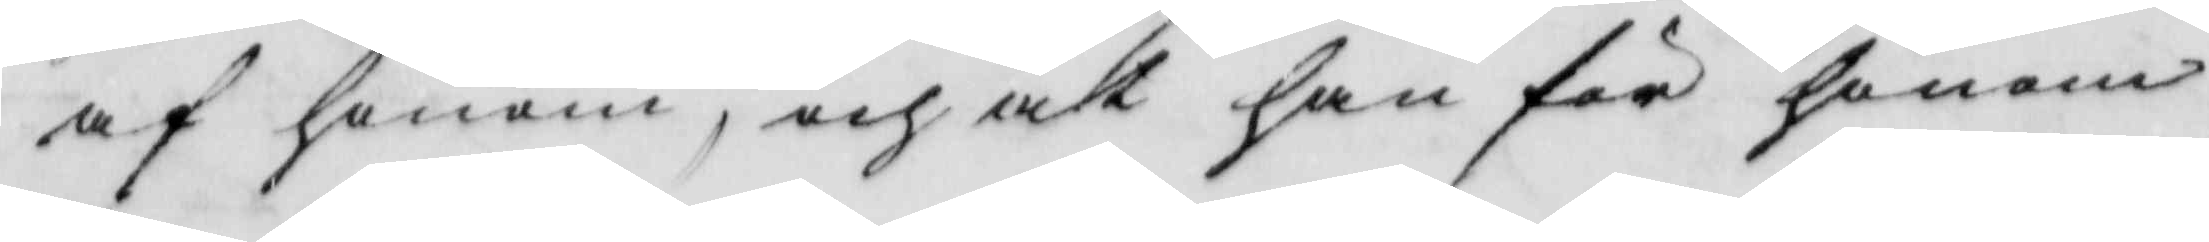af honom,och at han för honom
